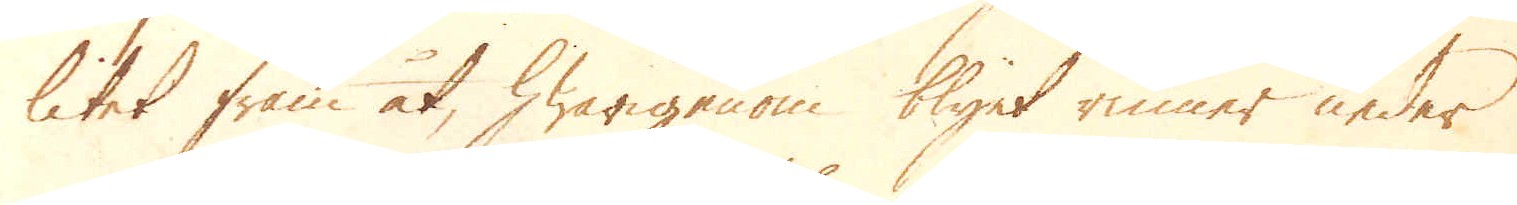litet fram åt, hwarigenom blyet rinner neder
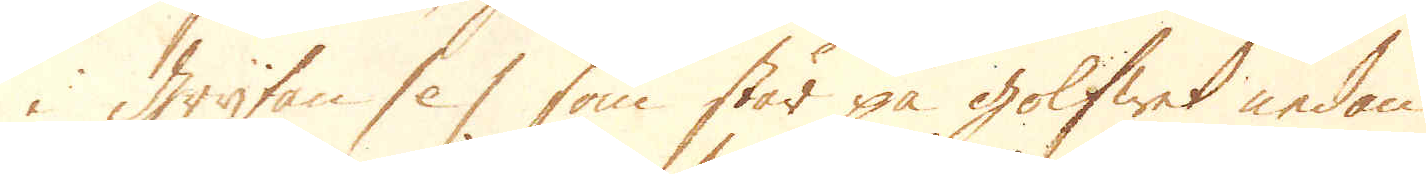i grytan /e/ som står på golfwet nedan
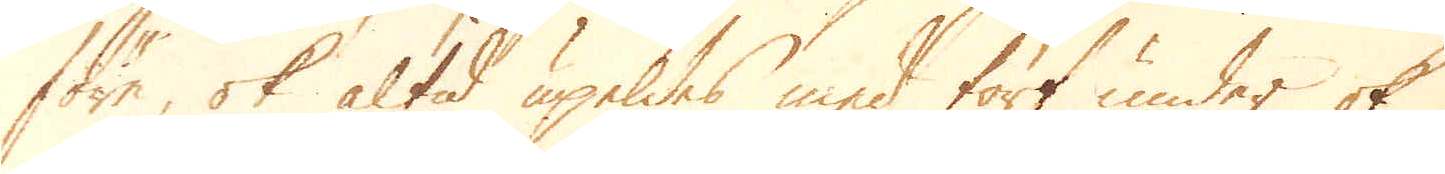före, ok altid upeldes med torf under ok
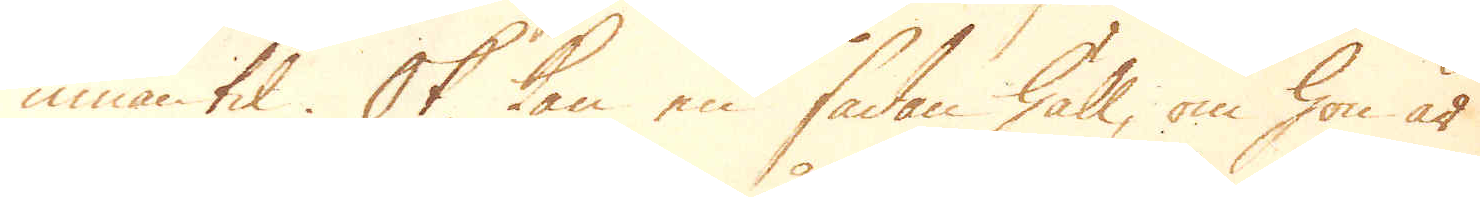innantil. Ok kan en sådan häll, om hon är
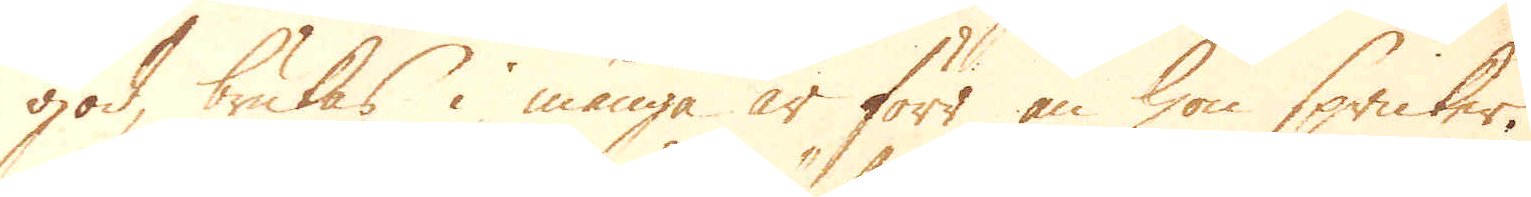god, brukas i många år förr än hon spricker.
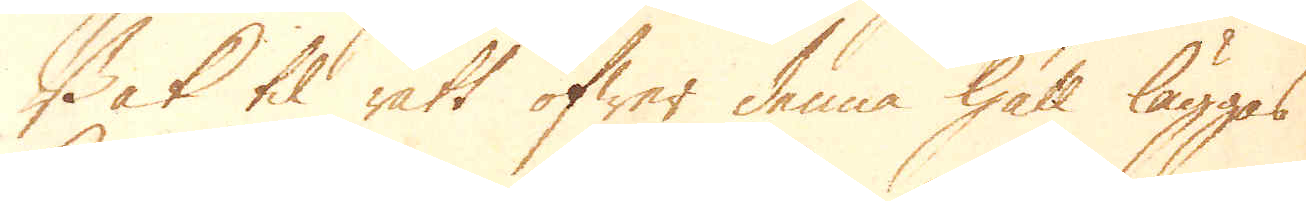Bak til rätt öfwer denna häll läggas
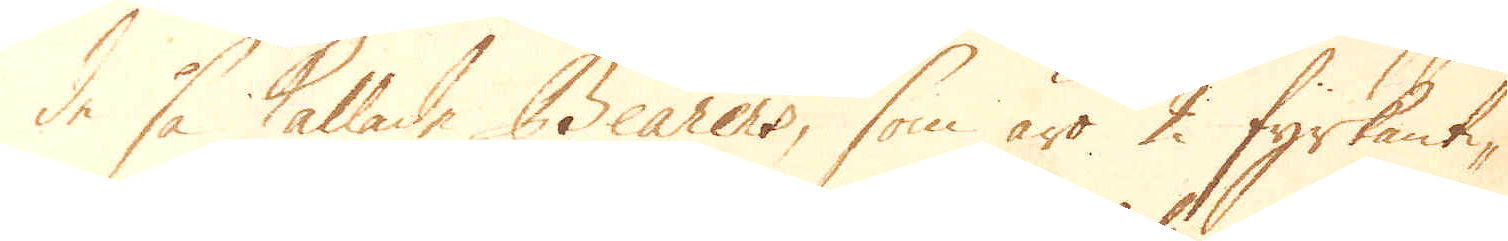de så kallade Bearers, som äro 2 fyrkanti-
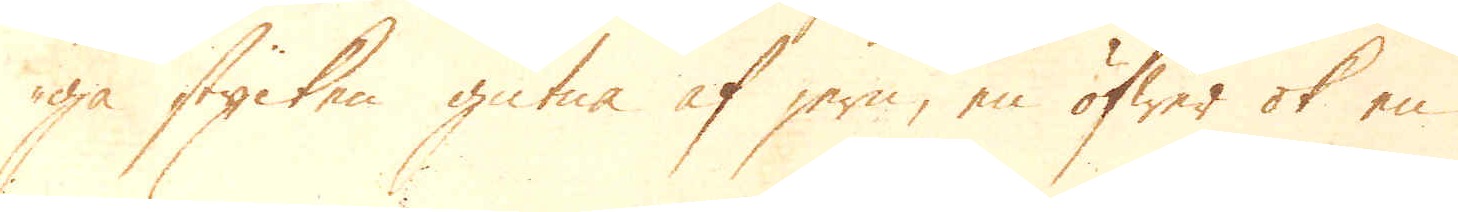ga stycken gutna af jern, en öfwer ok en
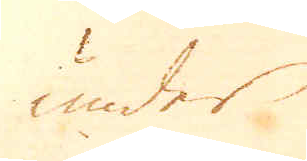under
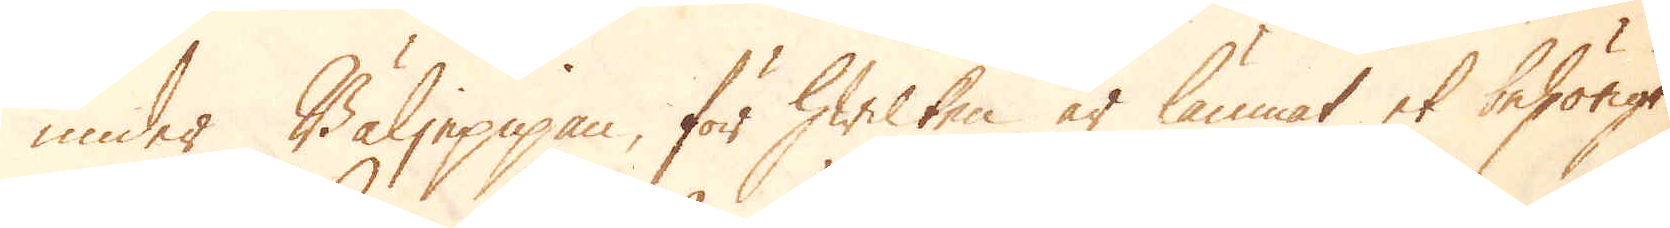under Bäljepipan, för hwilken är lämnat et behörigt
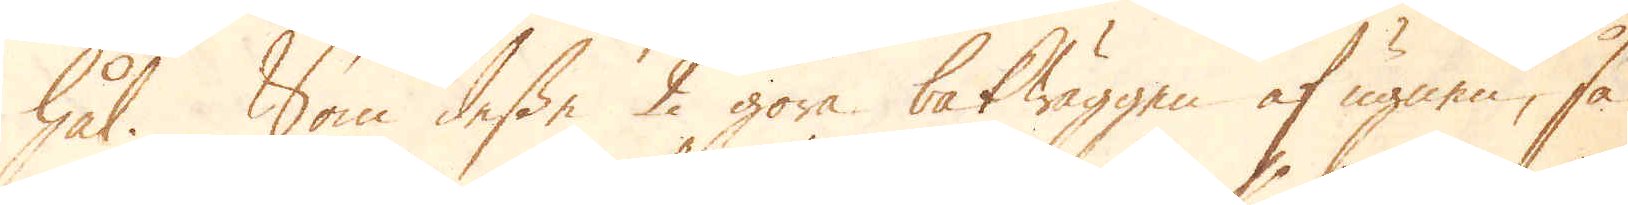hål. Som desse 2 göra bakwäggen af ugnen, så
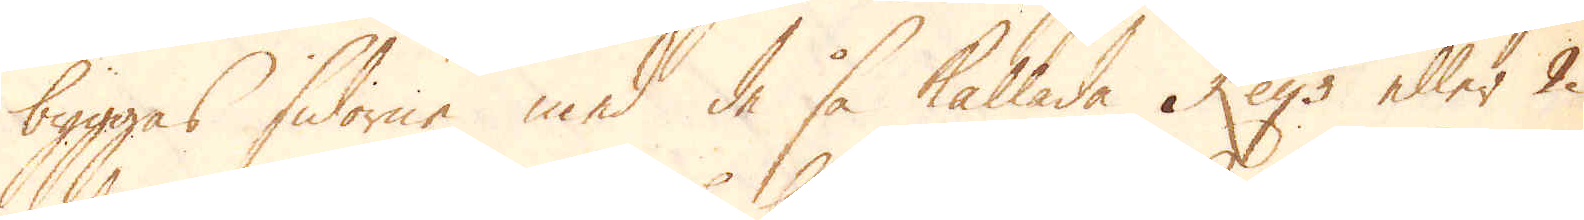byggas sidorne med de så kallade Keijs eller 2
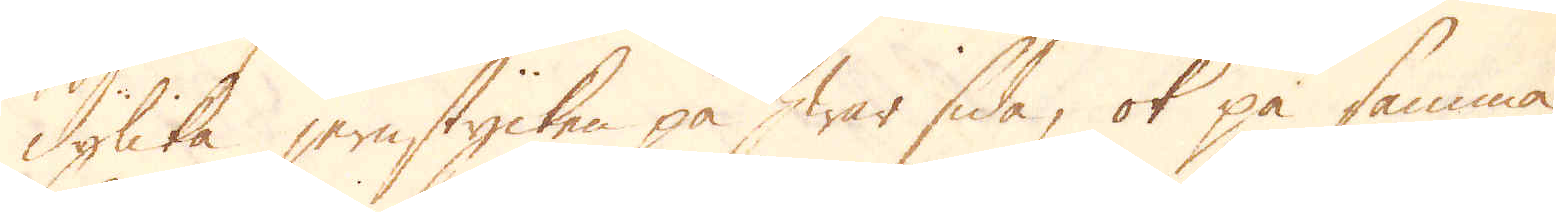dylika jernstycken på hwar sida, ok på samma
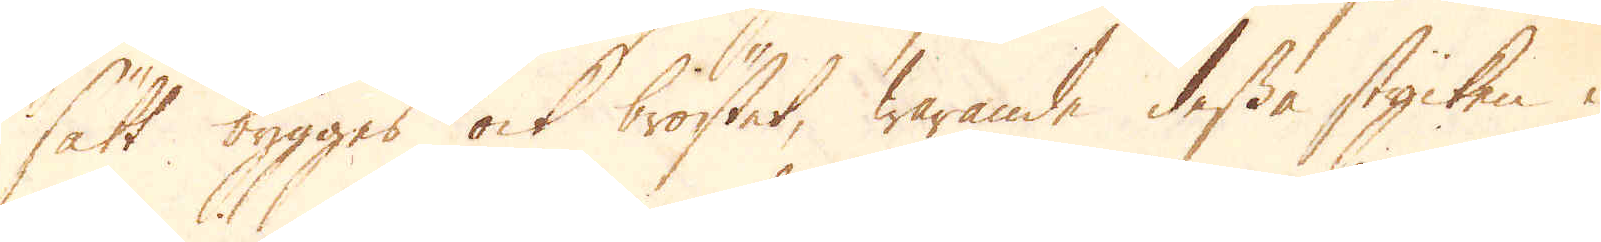sätt bygges ock bröstet, warande dessa stycken i
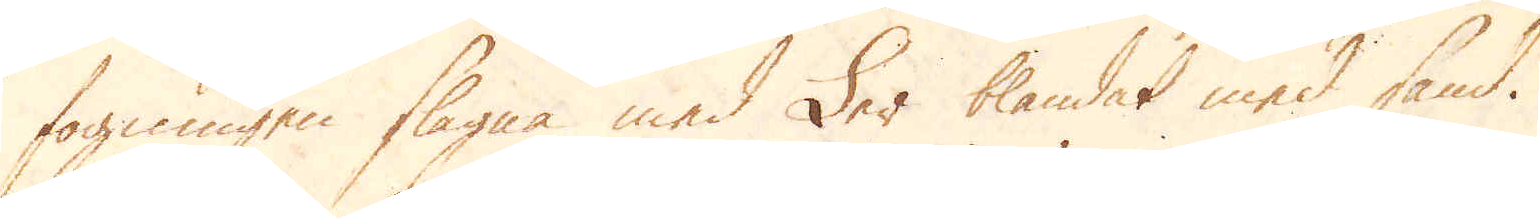fogningen slagna med Ler blandat med sand.
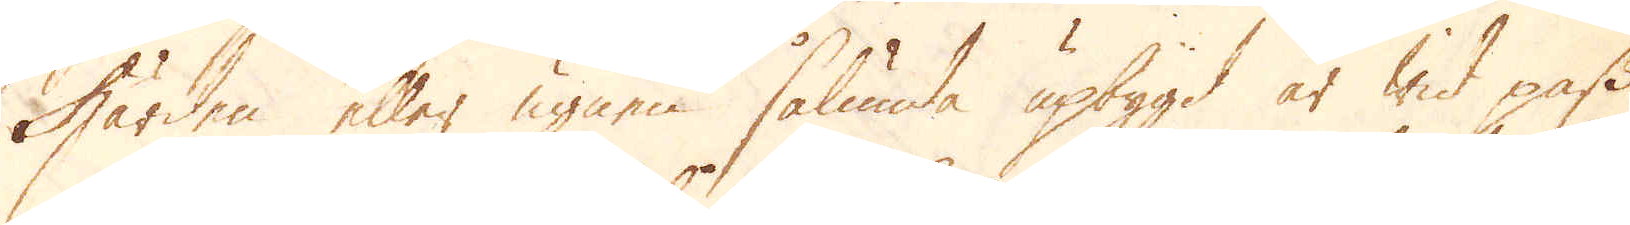Härden eller ugnen sålunda upbygd är wid pass
